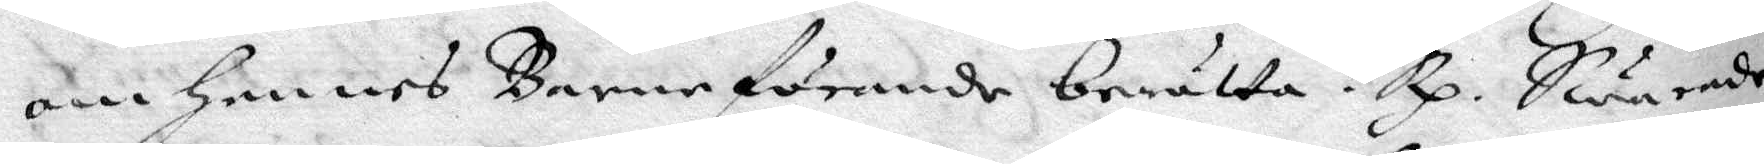om hennes Barnaförande berätta? Rp. Swarade
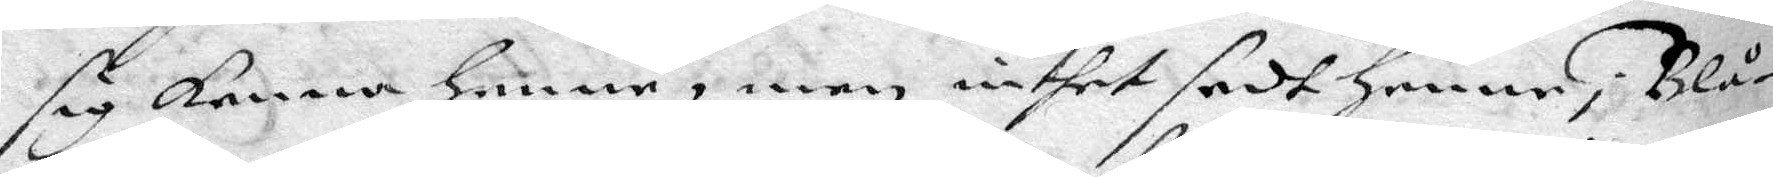sig kenna Henne, men intet sedt henne i Blå¬
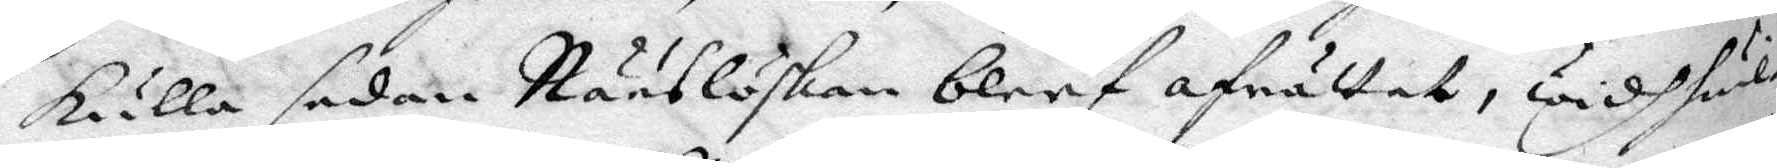kulla sedan Nääslöskan bleef afrättat, widh hwil¬
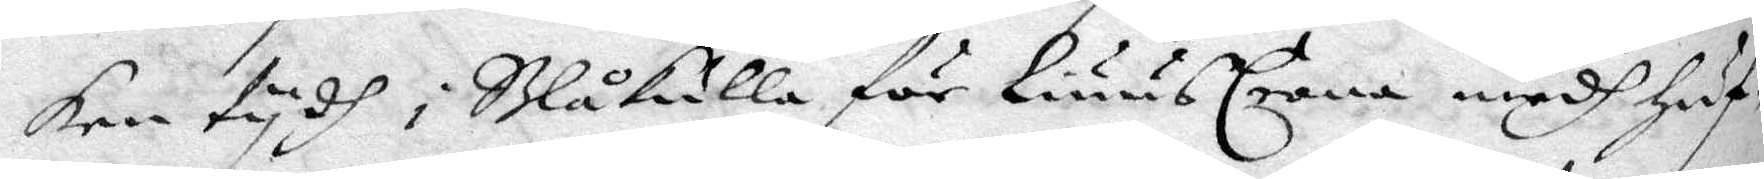ken tydh i Blåkulla för Liuus Crona medh huf¬
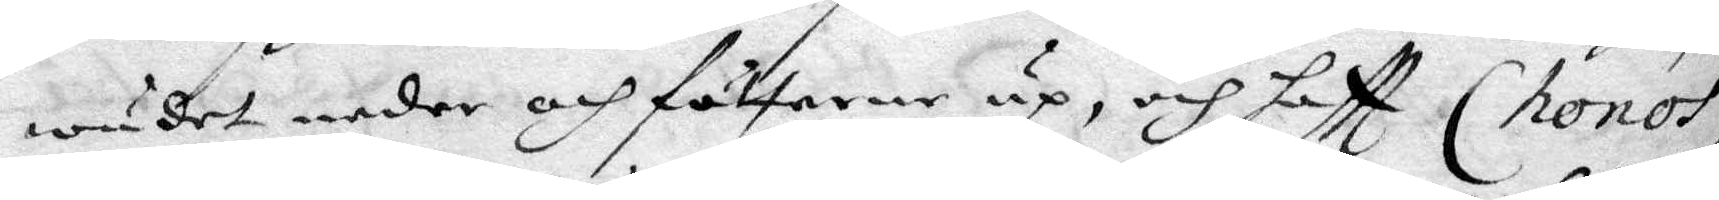wudet neder och fötterne up, och haftt (honos
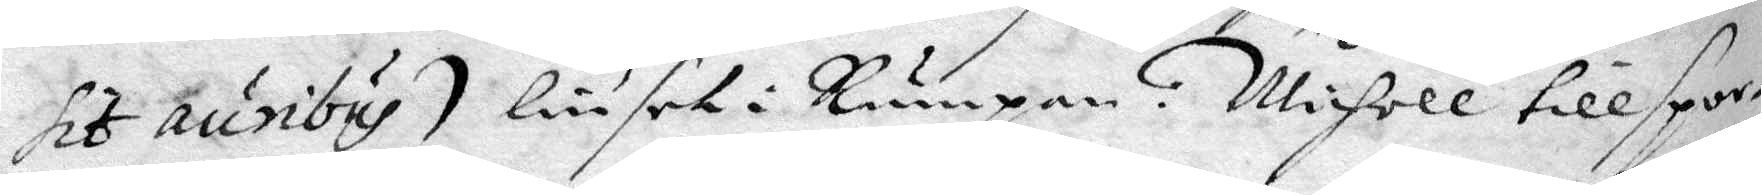sit auribus), :/ liuset i Rumpan, Michell tillspor¬
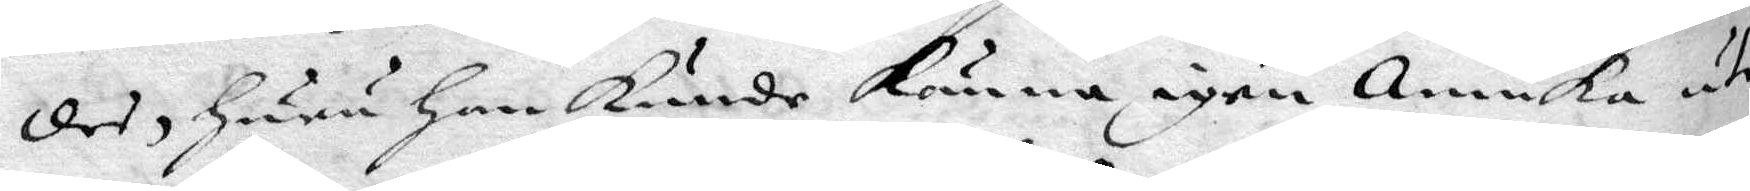des Huru Han kunde känna igen Annika uti
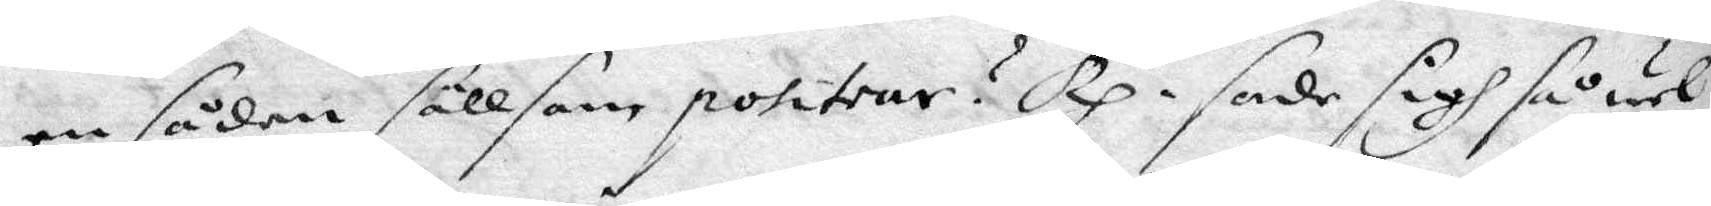en sådan sällsom positrar? Rp. sade sigh så wel
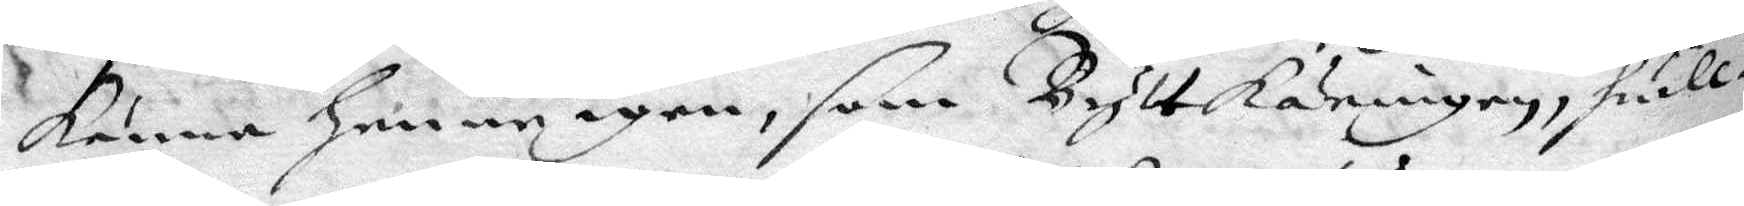känna henne igen, som Bylt käringen, hwil¬
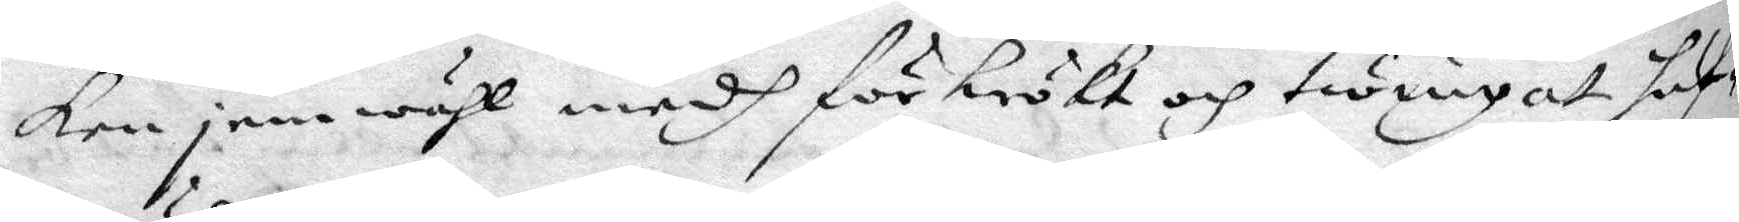ken jemwähl medh förkrökt och twingat huf¬
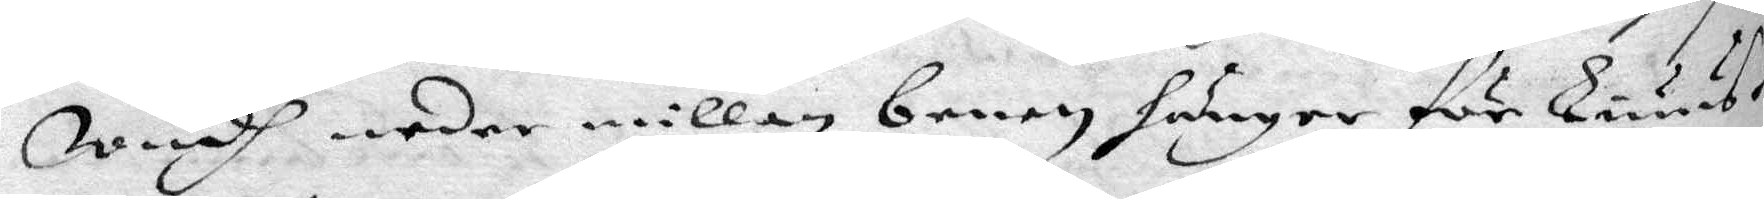wudh neder millan benen hänger för Liuus¬
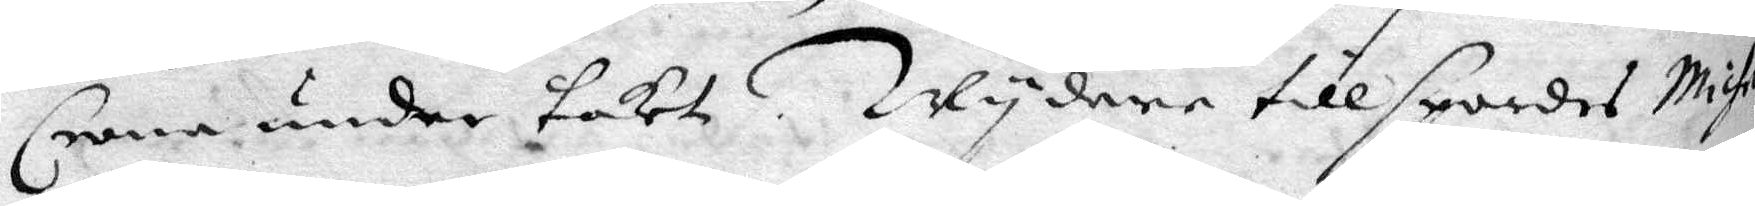Crona under taket. Wydare tillspordes Michel
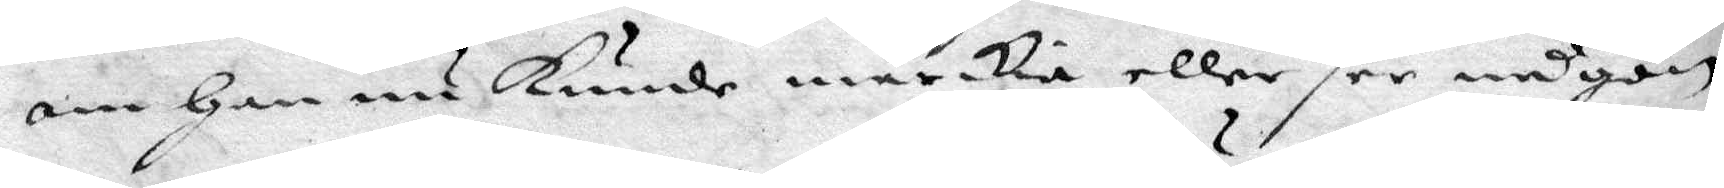om Han nu kunde märkia eller see någon
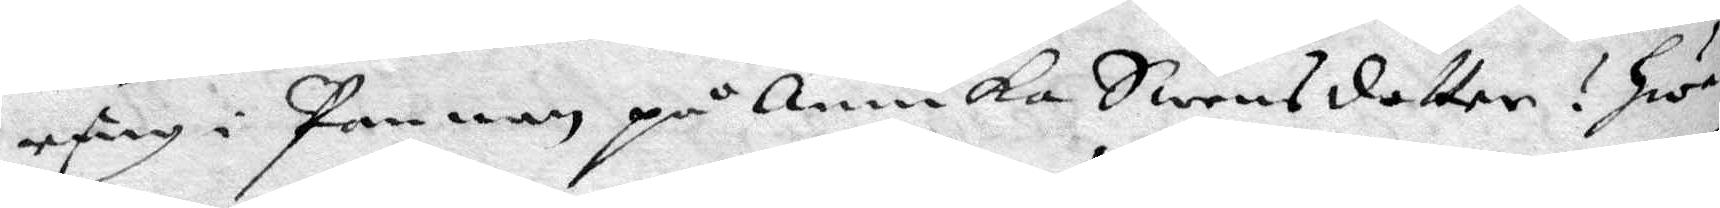ring i pannan på Annika Swensdotter? Hwar¬
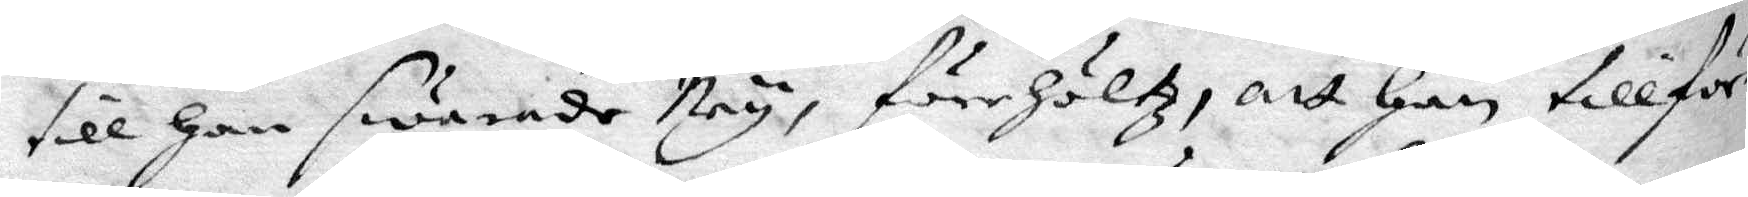till Han swarade Ney, förehöltz, att han tillför¬
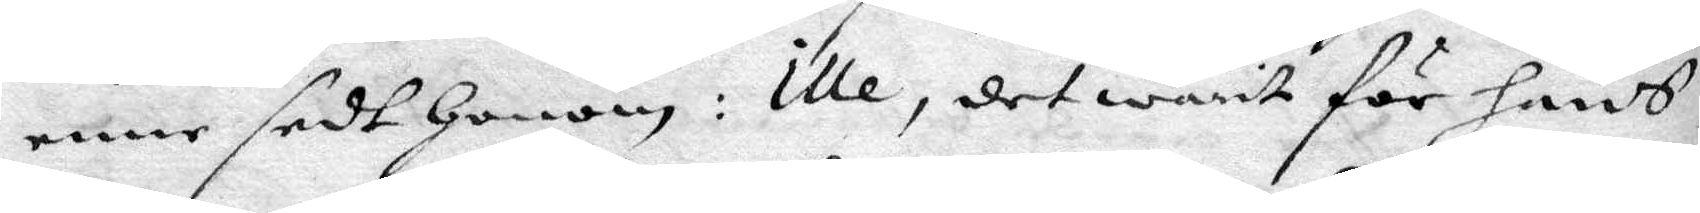enne sedt Honom: Ille, det warit för hans
